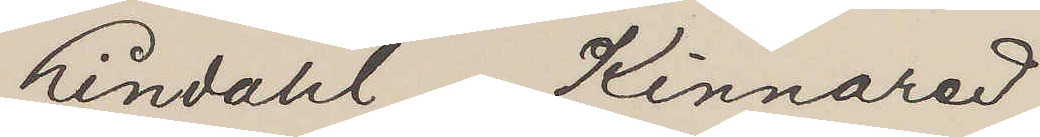Lindahl Kinnared
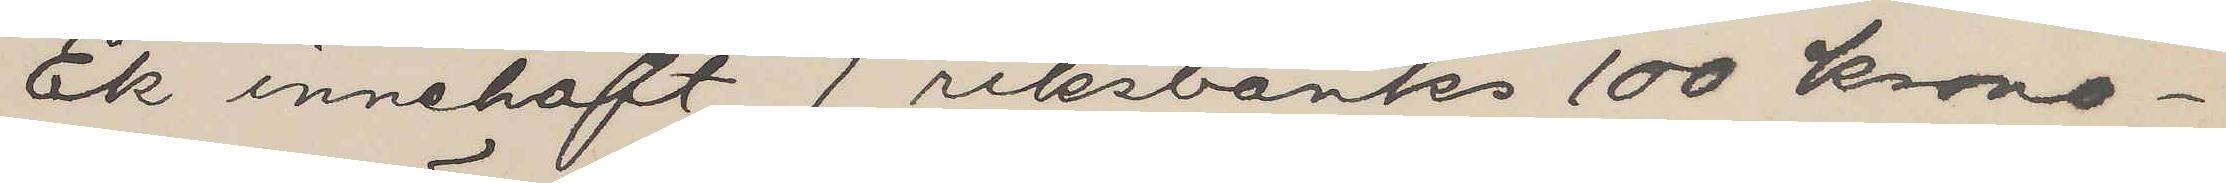Ek innehaft 7 riksbanks 100 krono¬
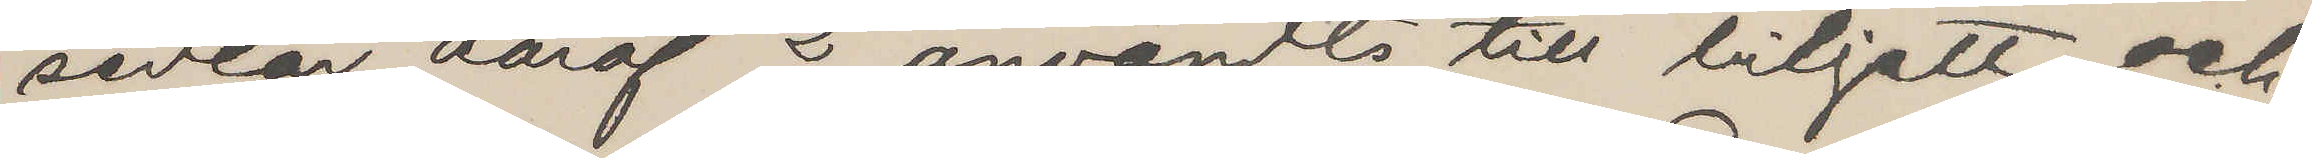sedlar deraf 2 användts till biljett och
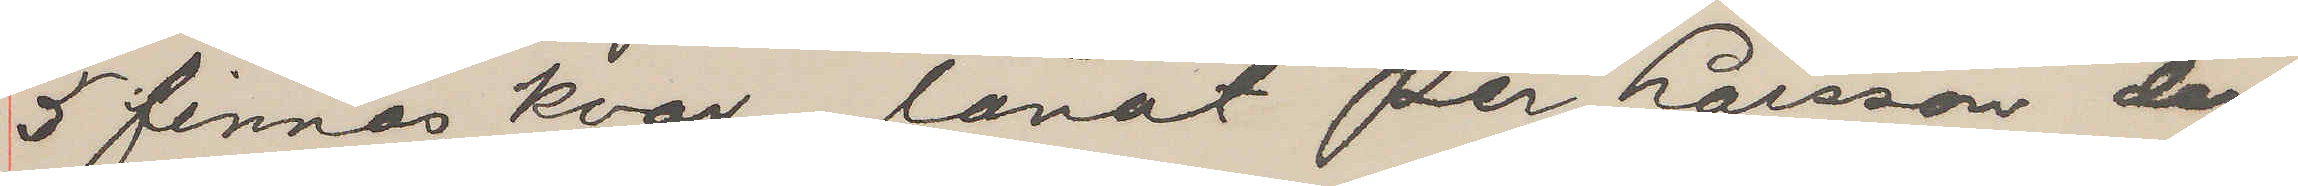5 finnas kvar, lånat per Larsson den
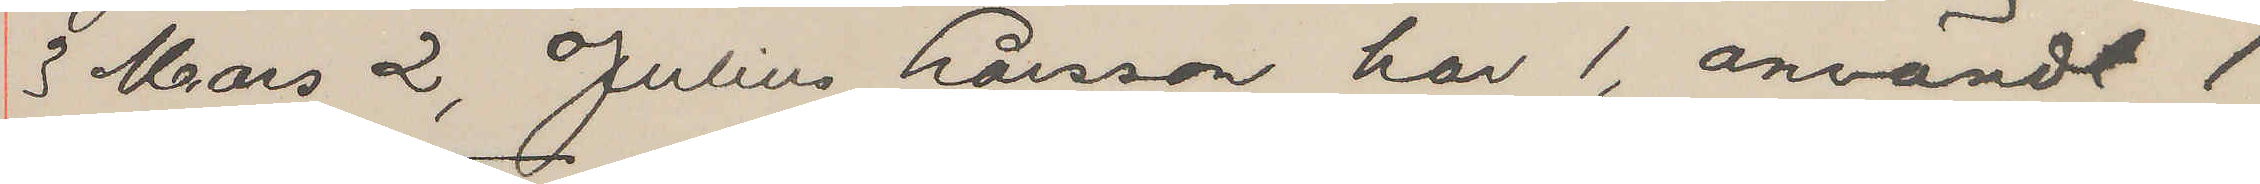3 Mars 2, Julius Larsson har 1, användt 1
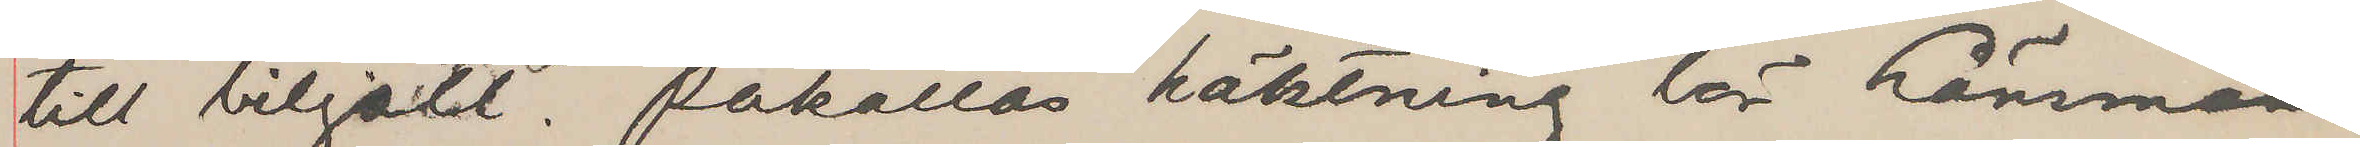till biljett, påkållas häktning bös hämmans¬
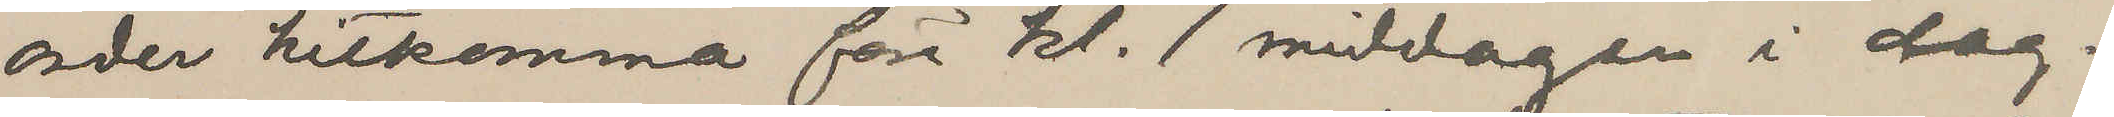order hitkomma före kl. 1 middagen i dag.
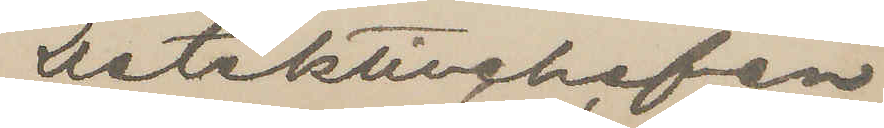Detektivchefen
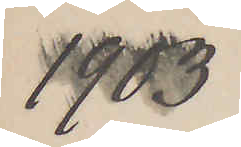1903
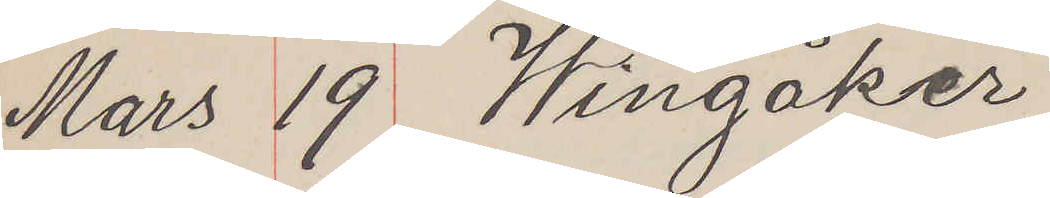Mars 19 Wingåker
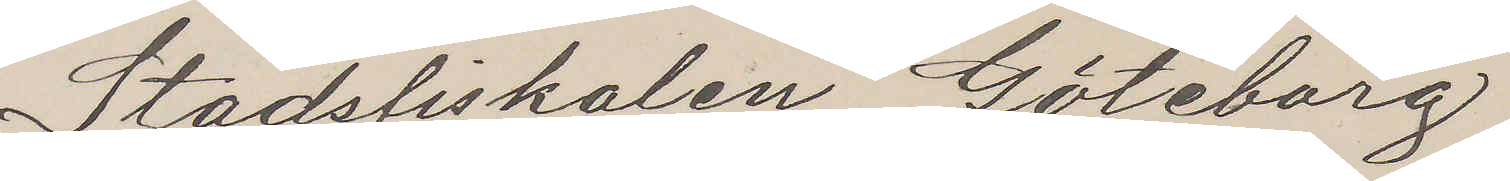Stadsfiskalen Göteborg
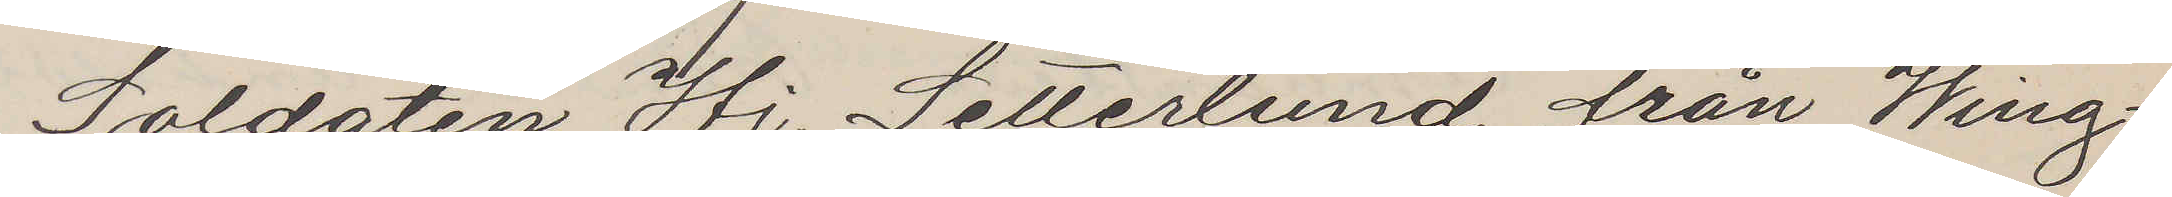Soldaten H. Setterlund från Wing¬
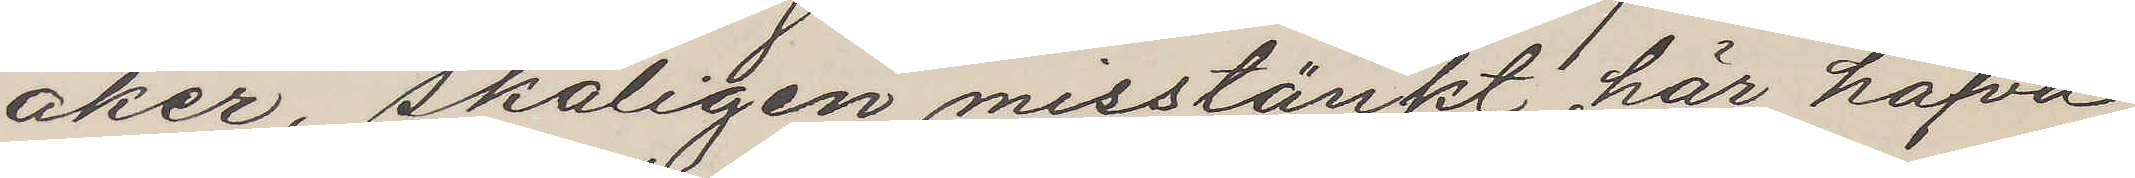åker, skäligen misstänkt, här hafva
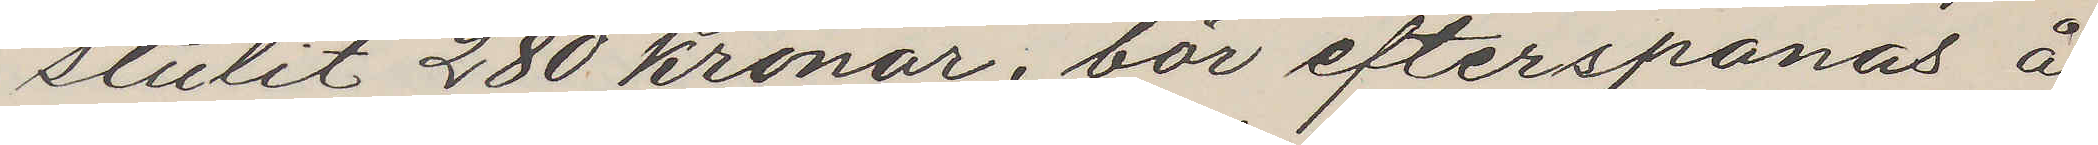stulit 280 kronor, bör efterspanas å
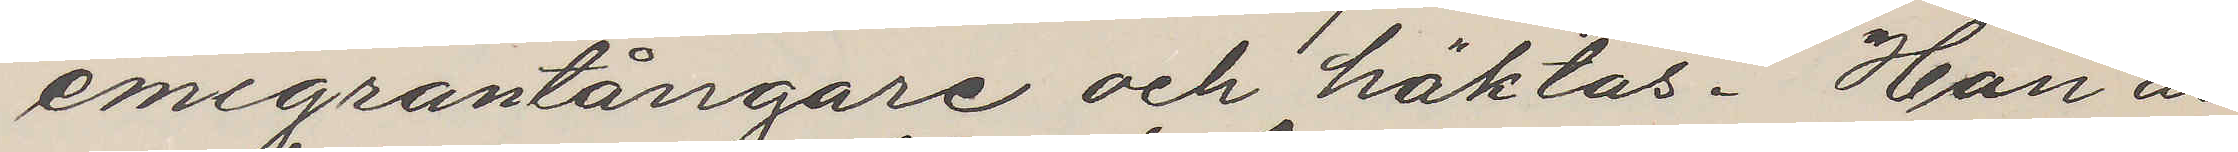emigrantångare och häktas. Han är
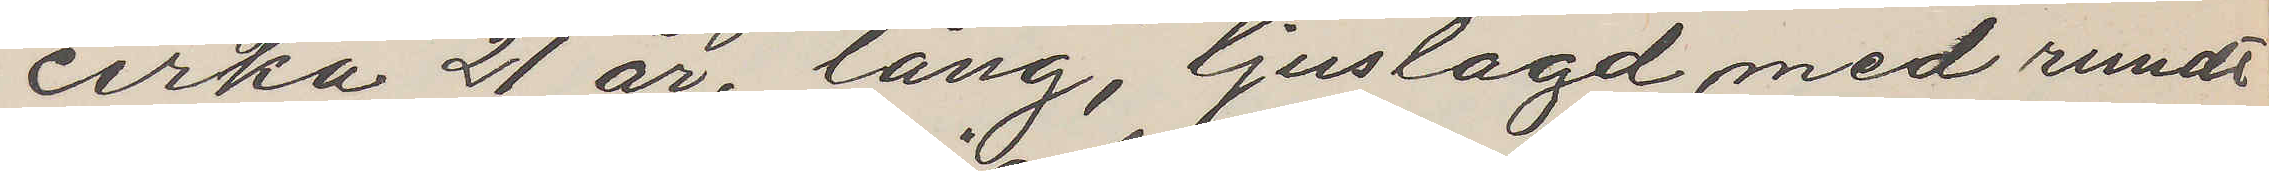cirka 21 år, lång, ljuslagd med rundt
